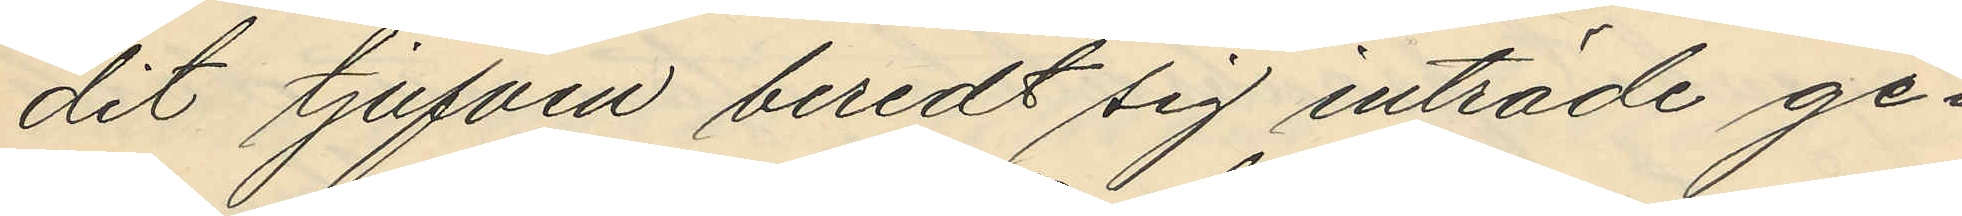dit tjufven beredt sig inträde ge¬
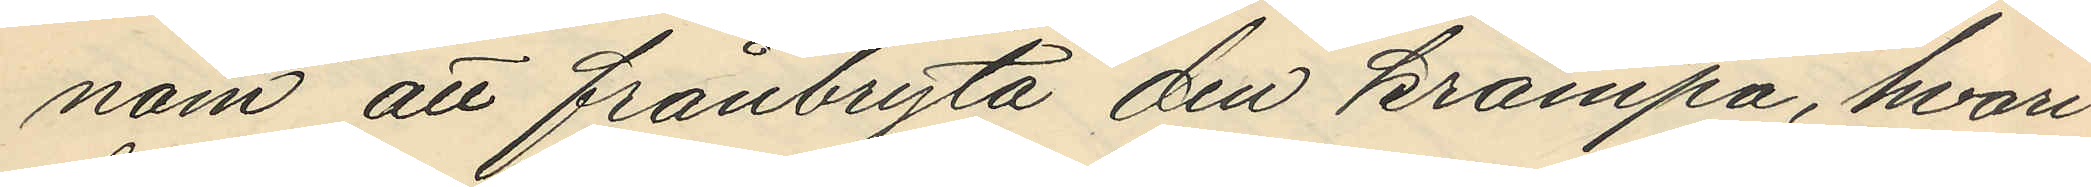nom att frånbryta den krampa, hvari
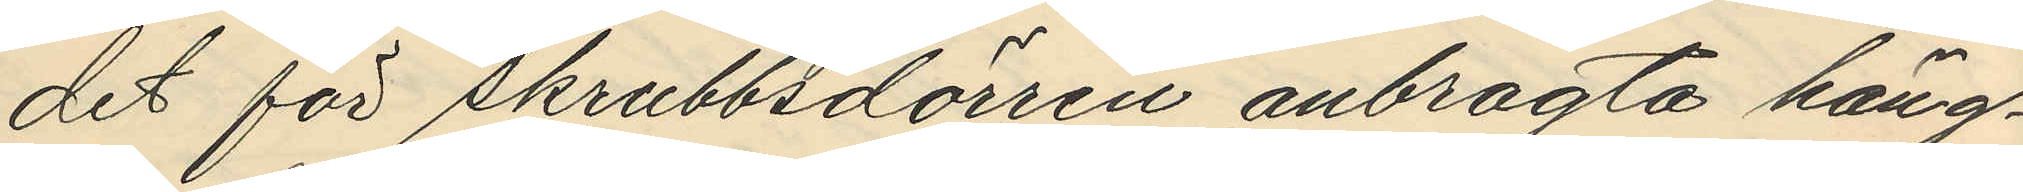det för skrubbsdörren anbragta häng¬
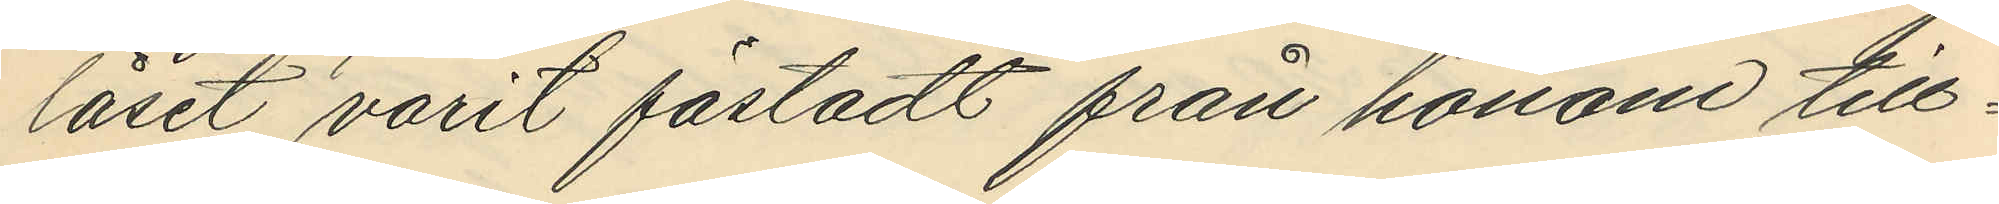låset varit fästadt från honom till¬
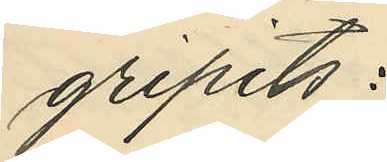gripits:
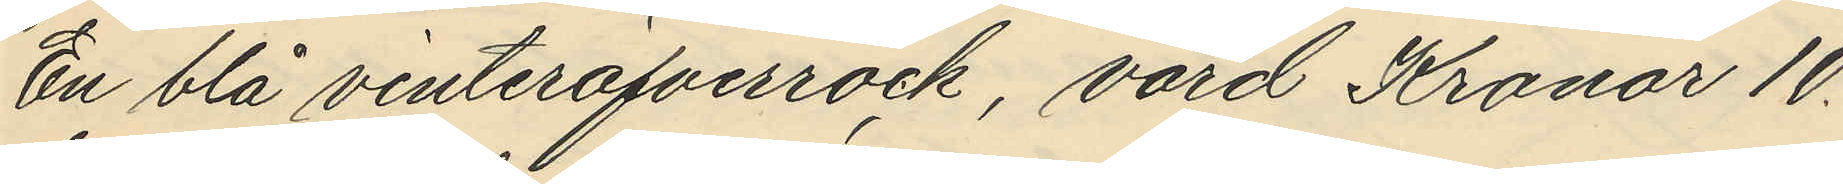En blå vinteröfverrock, värd Kronor 10.
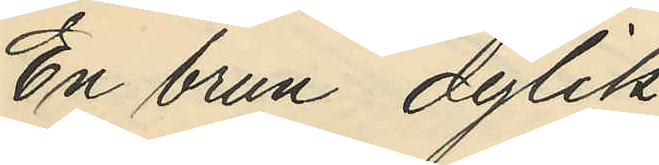En brun dylik
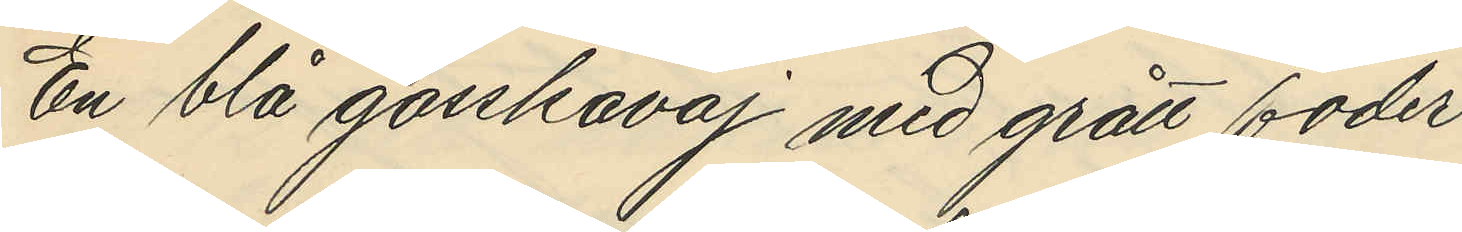En blå gosskavaj med grått foder
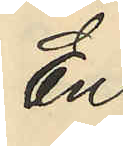En
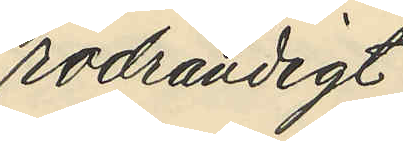rodrandigt
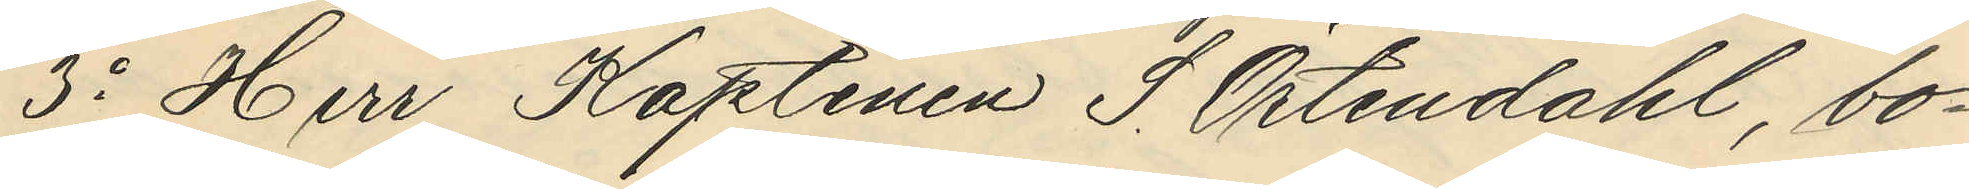3o Herr Kaptenen S. Örtendahl, bo¬
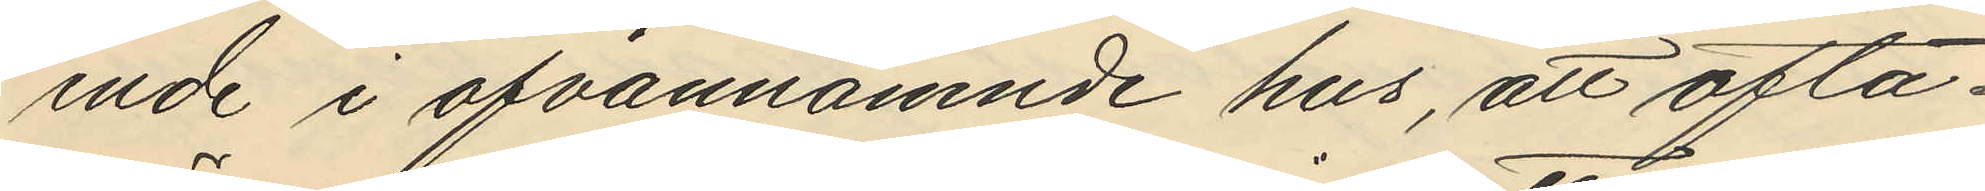ende i ofvannämnde hus, att ofta¬
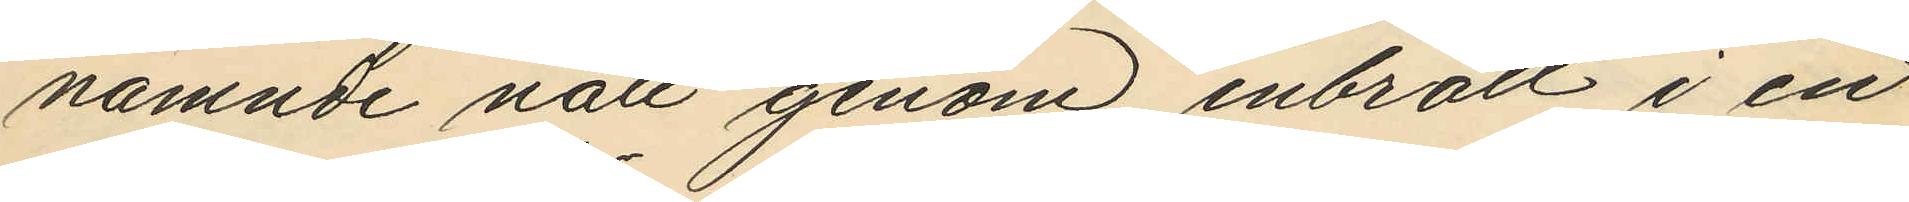nämnde natt genom inbrott i en
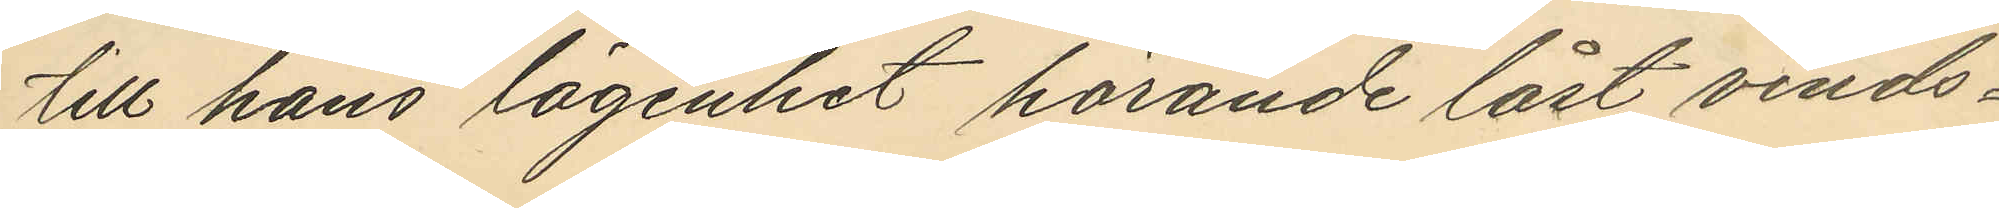till hans lägenhet hörande låst vinds¬
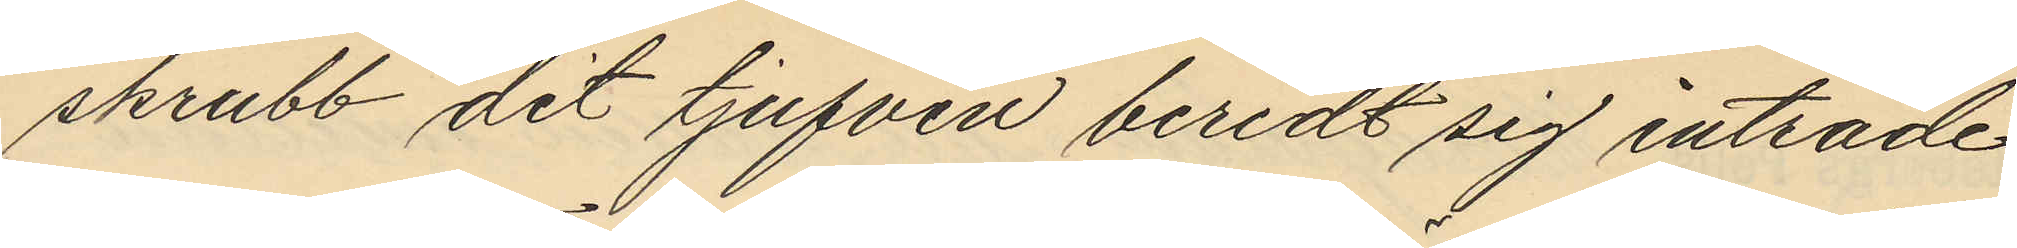skrubb dit tjufven beredt sig inträde
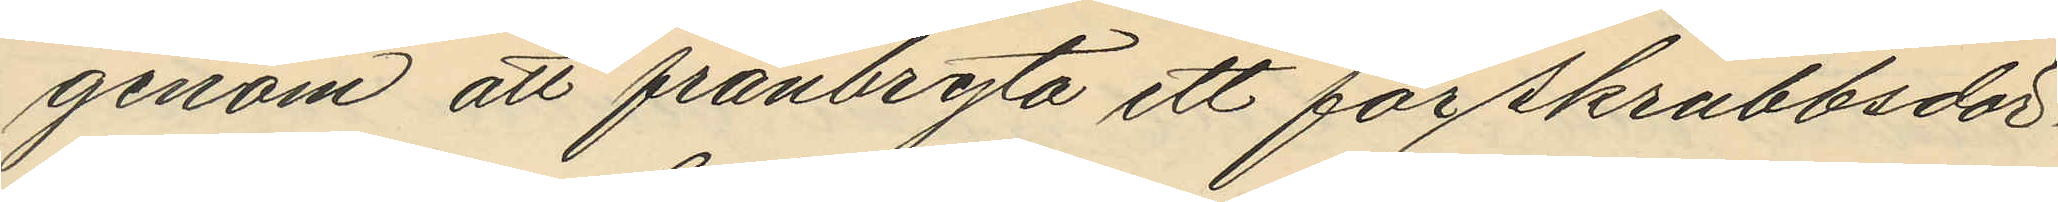genom att frånbryta ett för skrubbsdör¬
